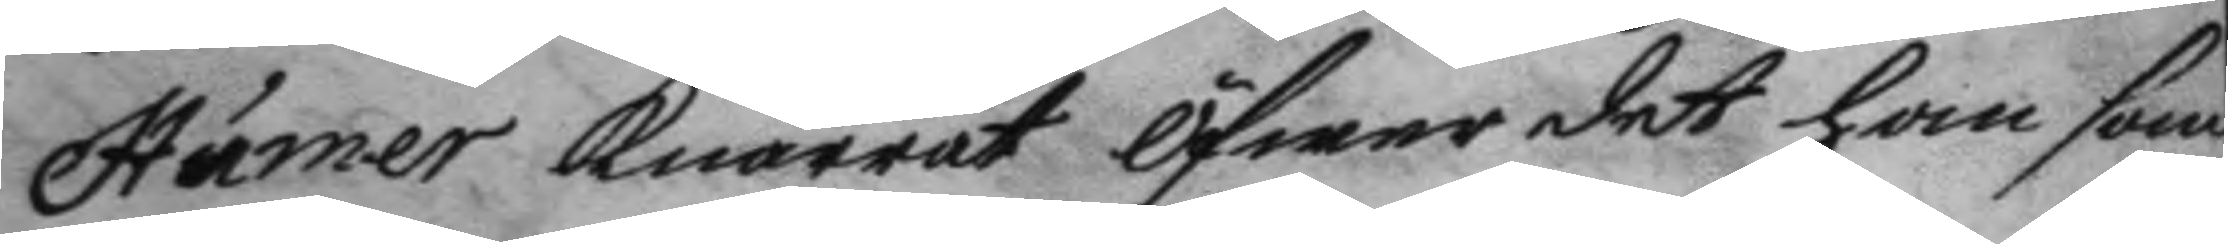Humer knårrat öfwer det han som
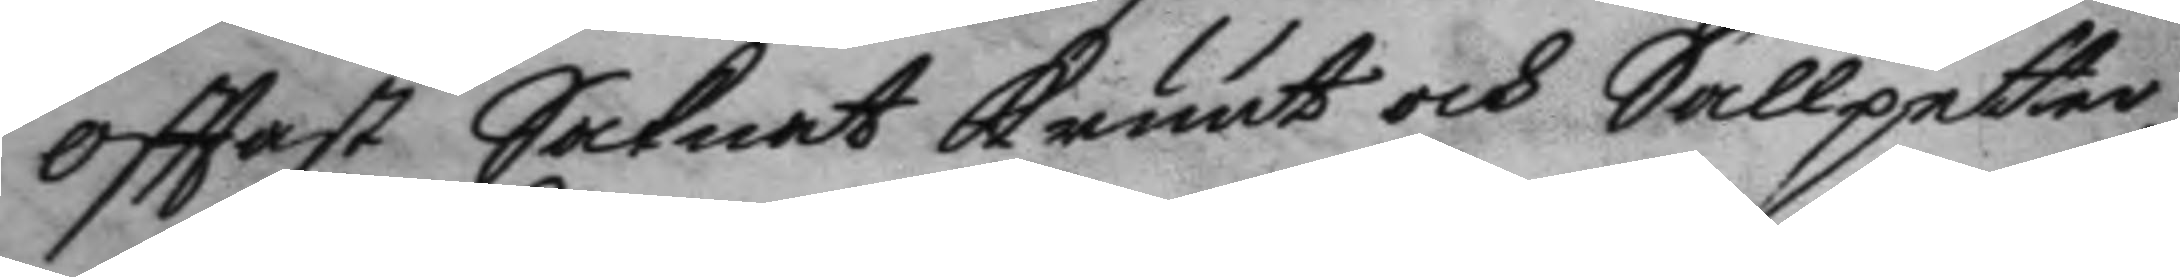ofttast Saknat kruut och Sallpetter
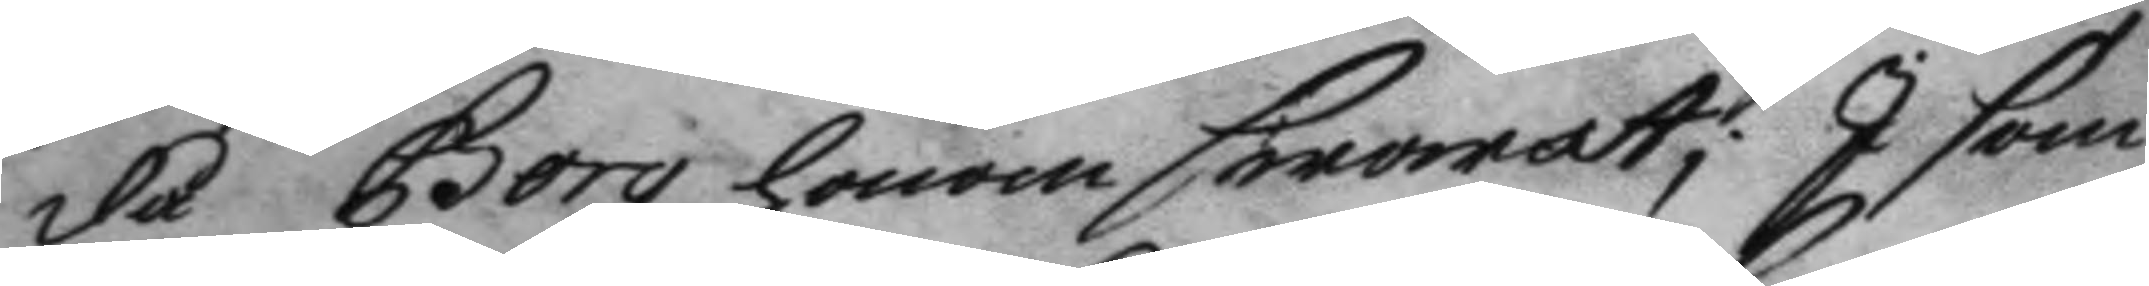då Borg honom swarat; I som
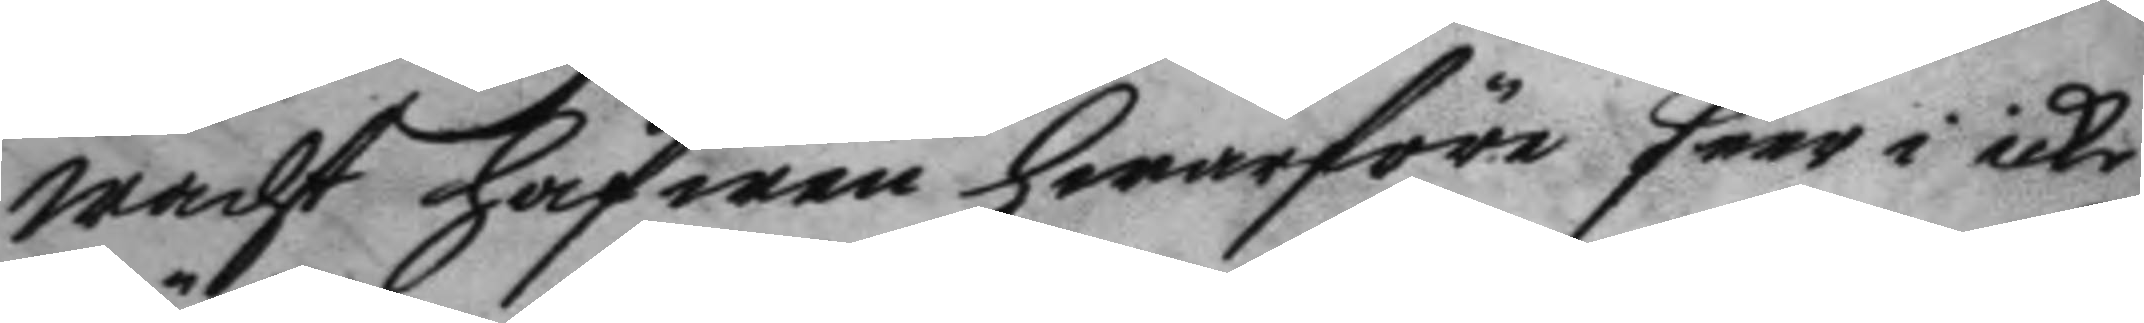wacht hafwer hwarföre seer i icke
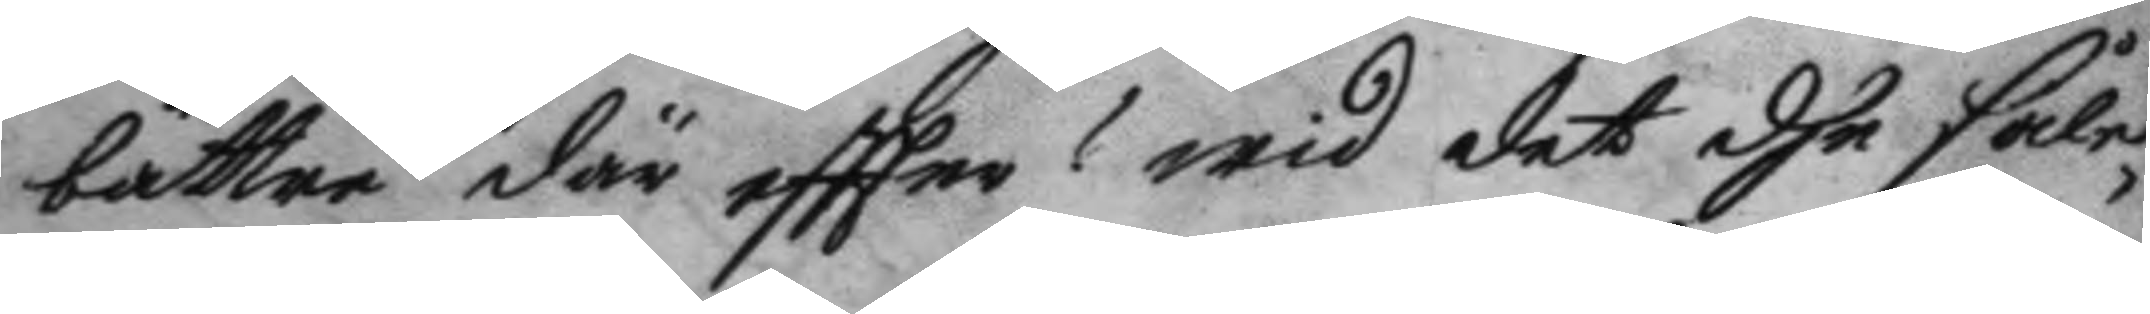bättre där eftter? wid det dhe såle¬
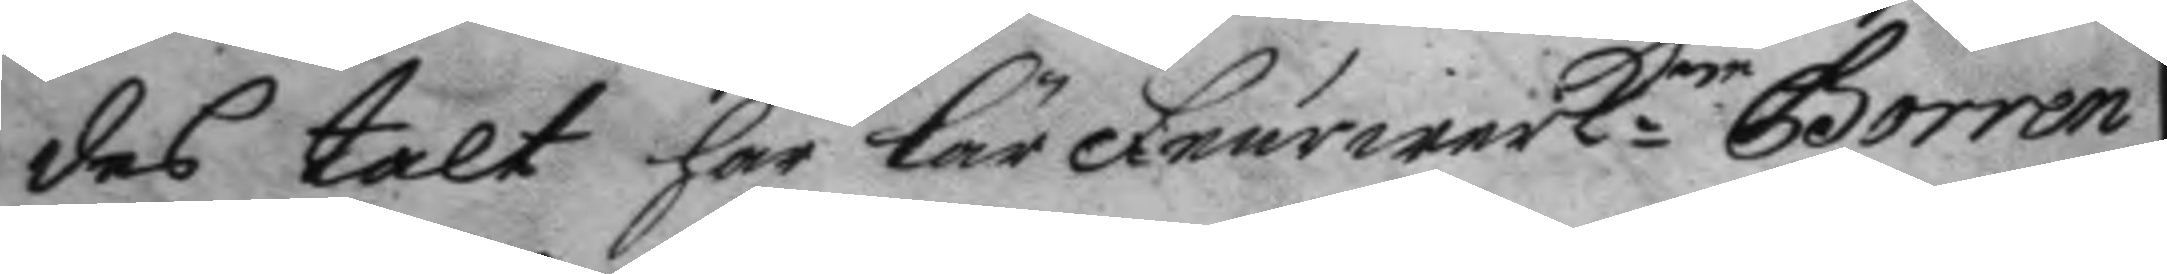des talt har lär Feurwrk:en Borrén
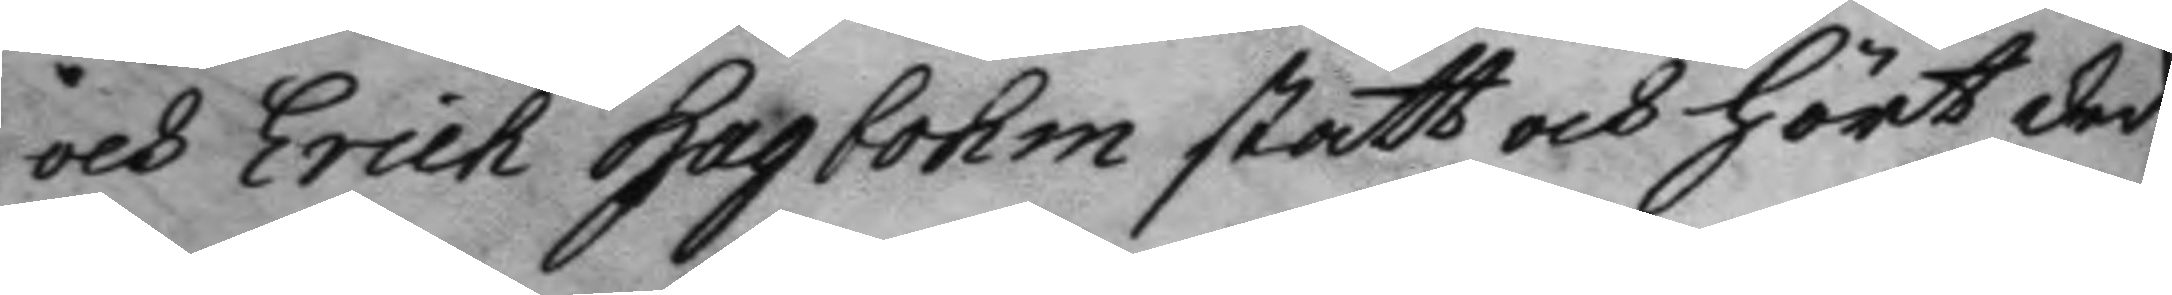och Erich Hagbohm stått och hört der
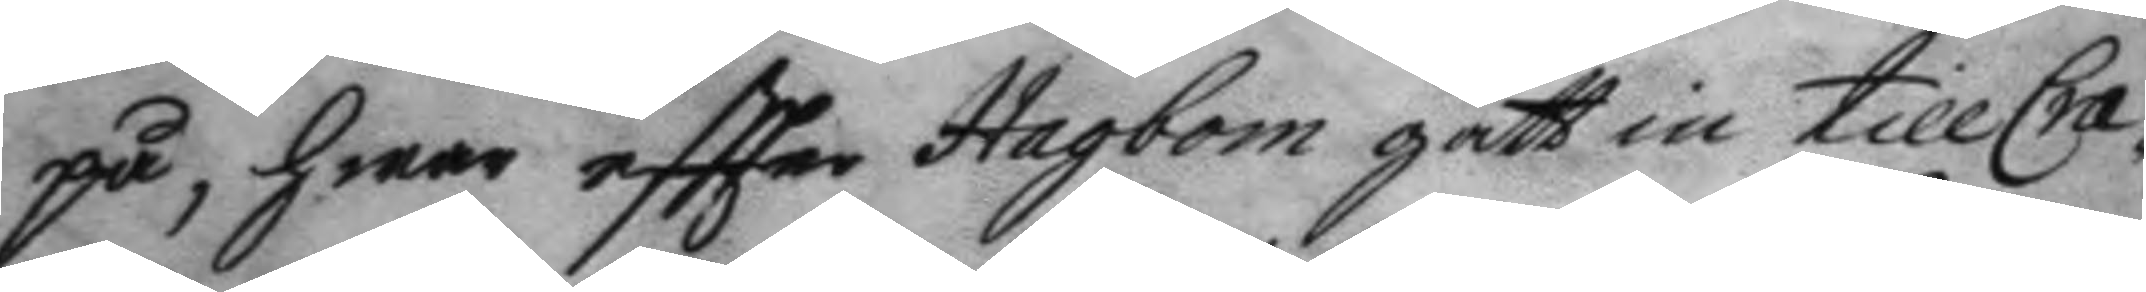på, hwar eftter Hagbom gått in till Cra¬
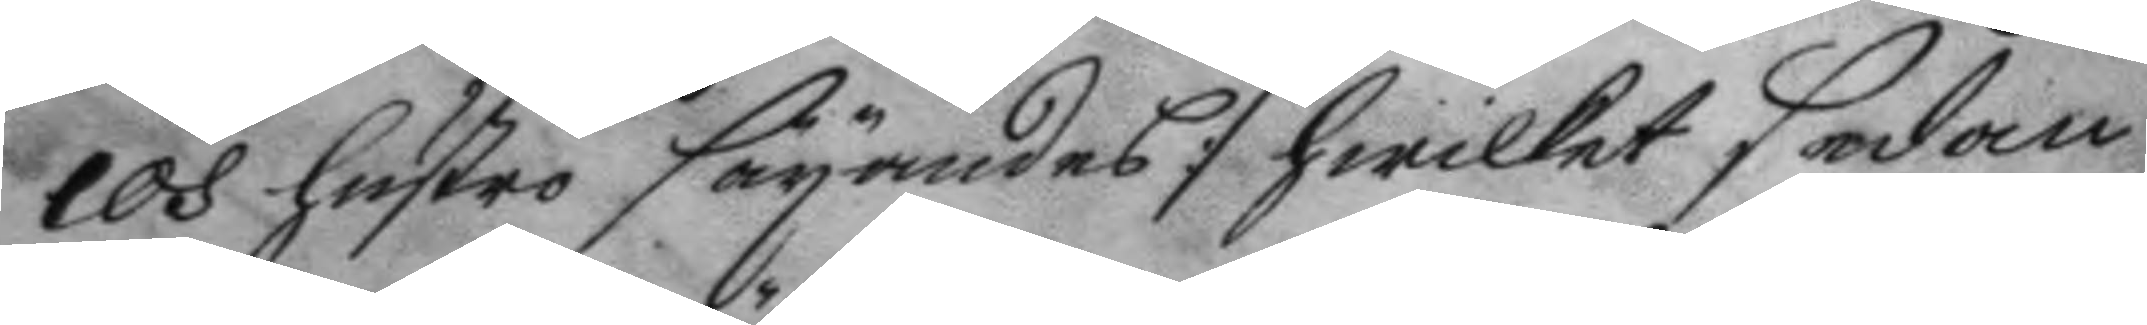cos hustro sägandes :/hwilket sedan
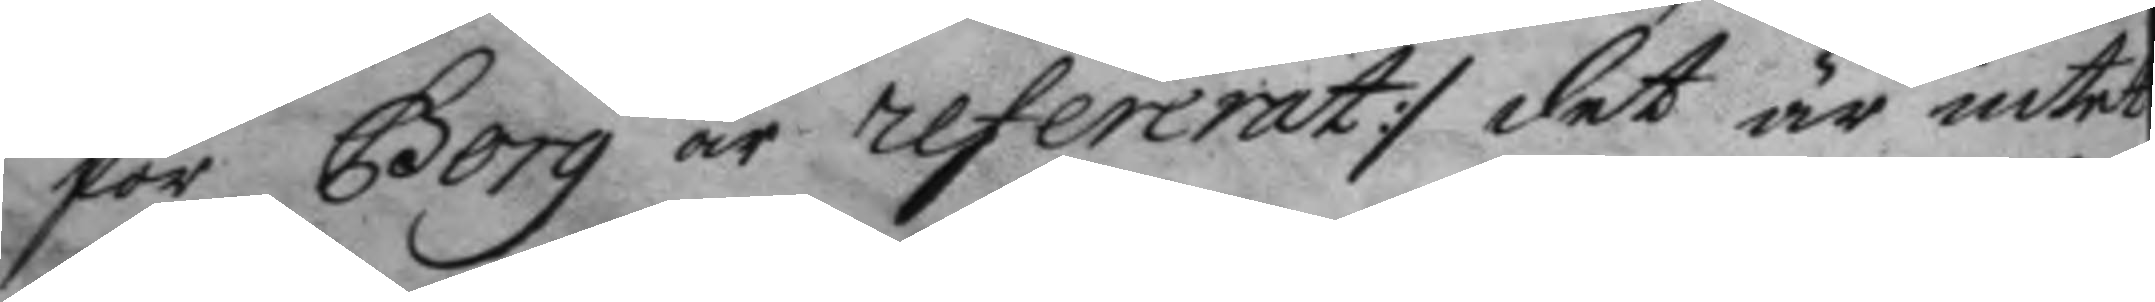för Borg är refererat :/ det är intet
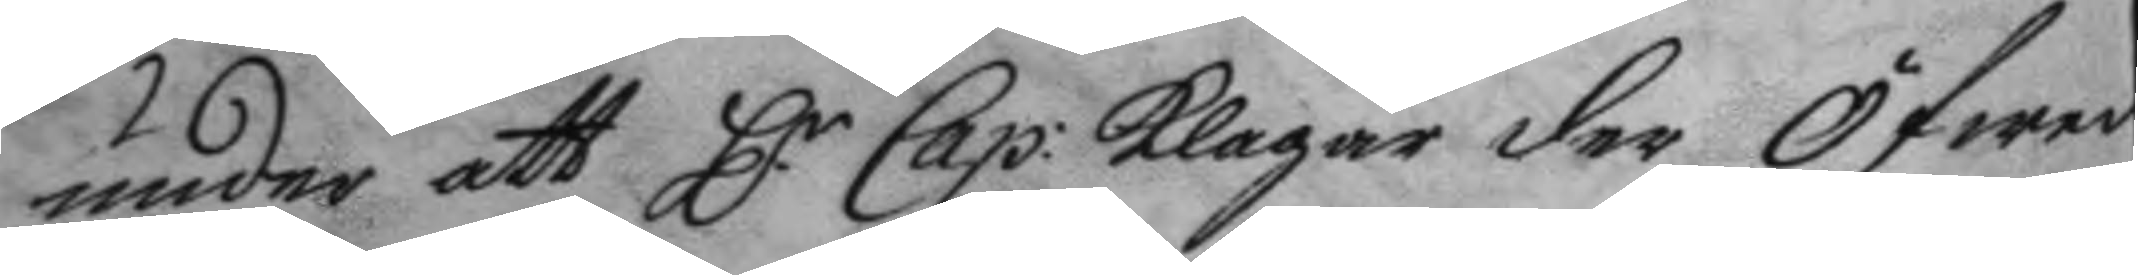under att H.r Cap: klagar der öfwer
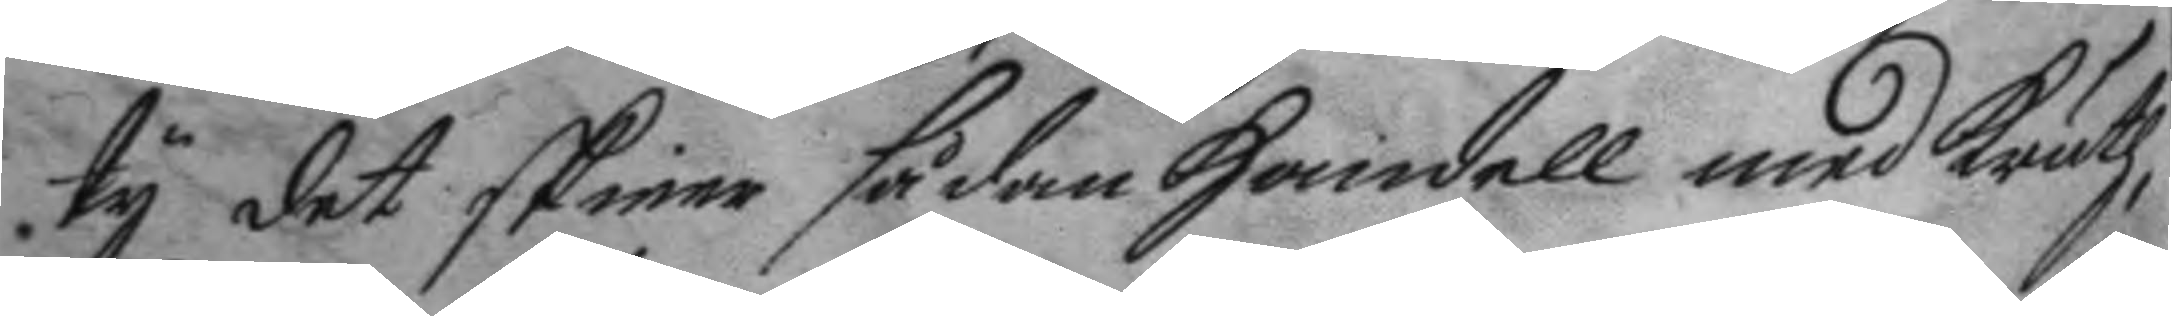ty det skieer sådant Handell med kruth,
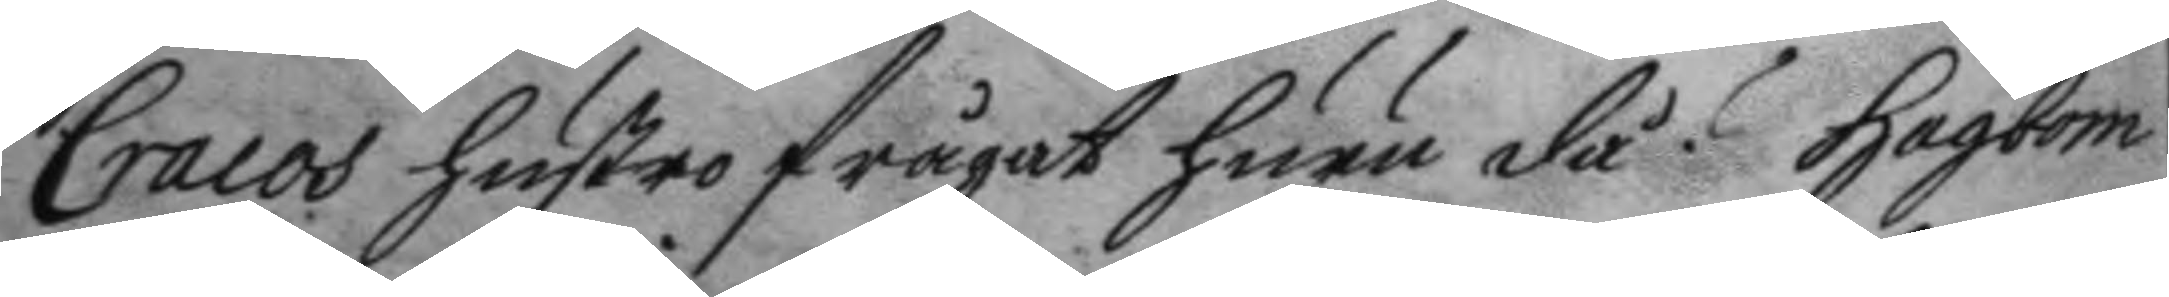Cracos hustro frågat huru då? Hagbom
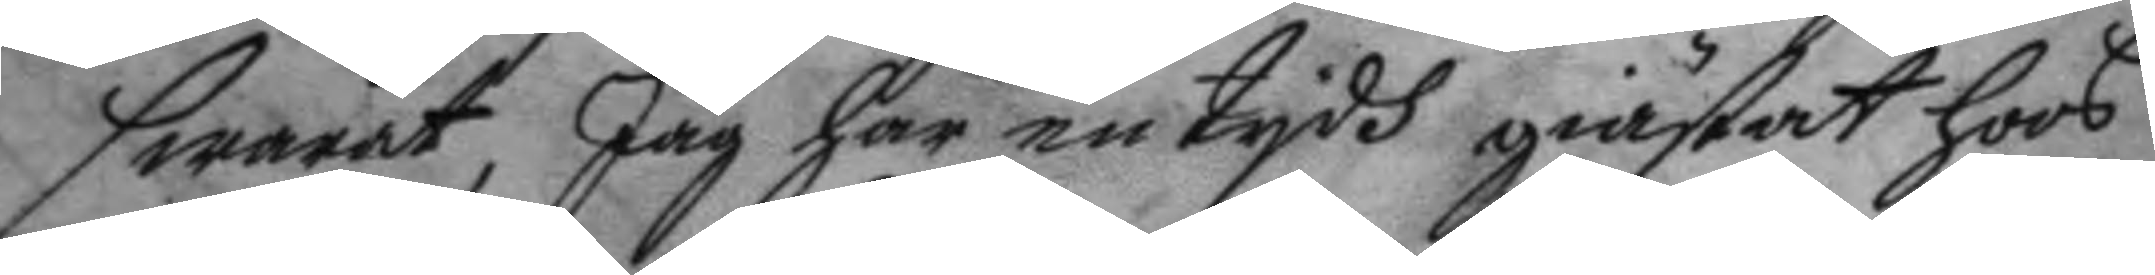swarat, Jag har en tydh giästat hoos
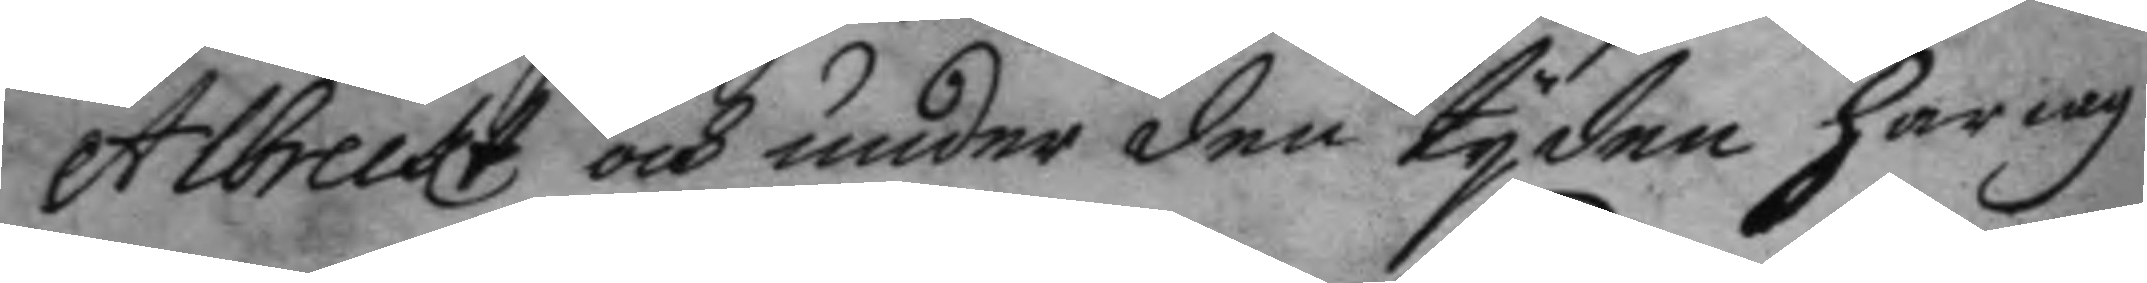Albreckt och under den tyden har iag
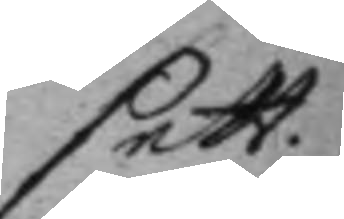sett
